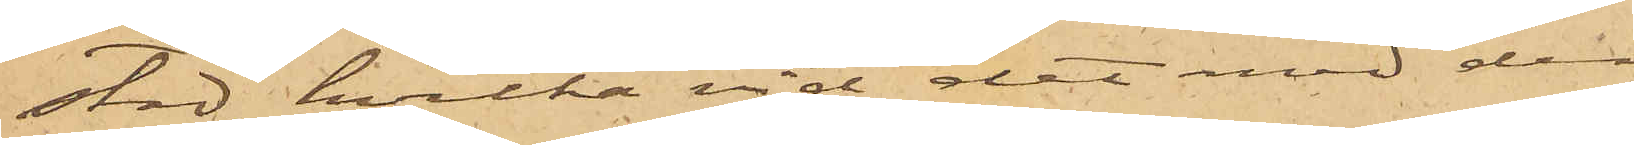stad, hvilka vid det med dem
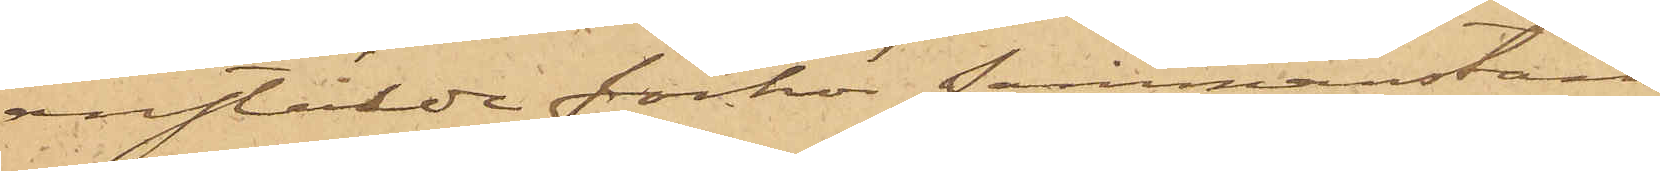anstälde förhör sammanstäm¬
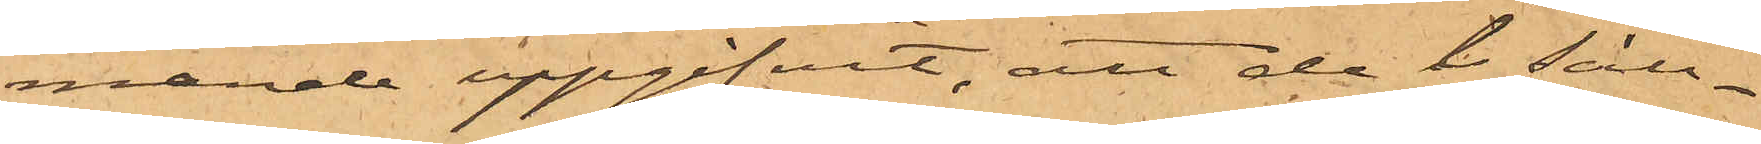mande uppgifvit, att de i säll¬
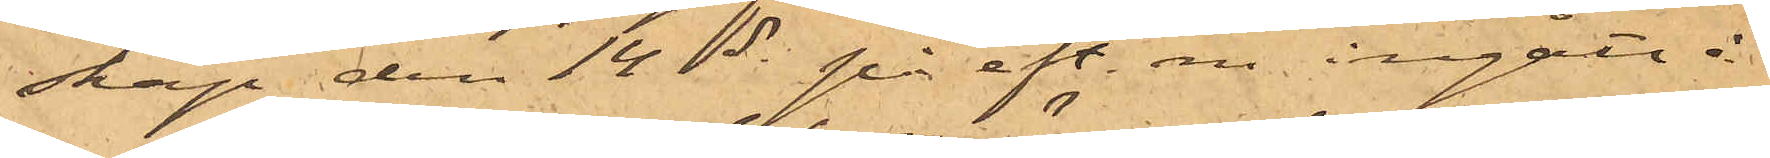skap den 14 ds på eft.m. ingått å
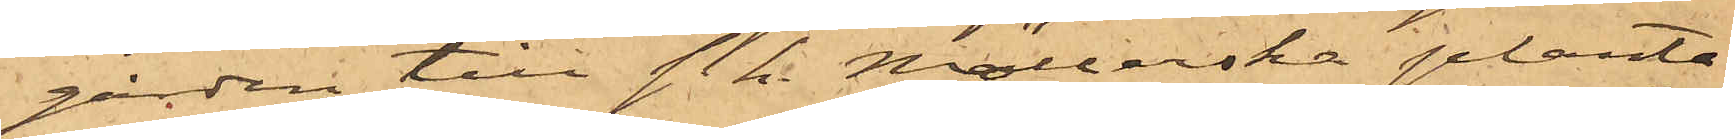gården till s. k. Möllerska planta¬
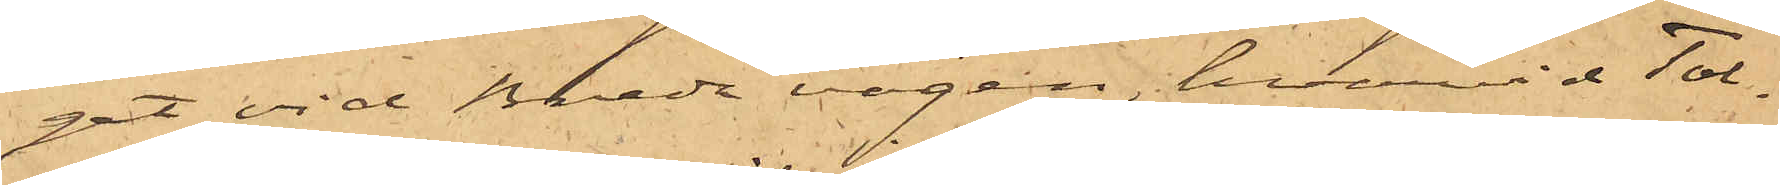get vid Breda vägen, hvarvid Tol¬
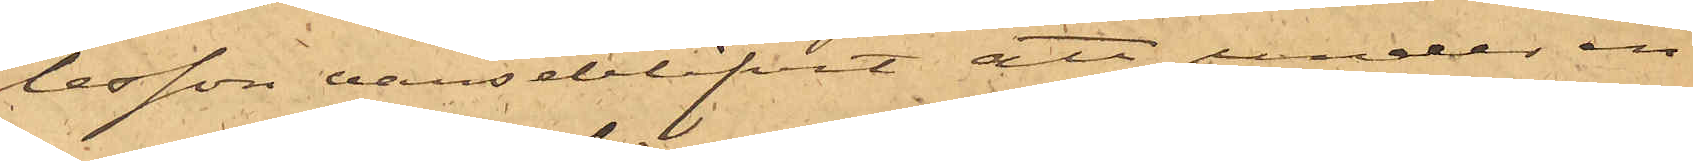lesson varseblifvit att under en
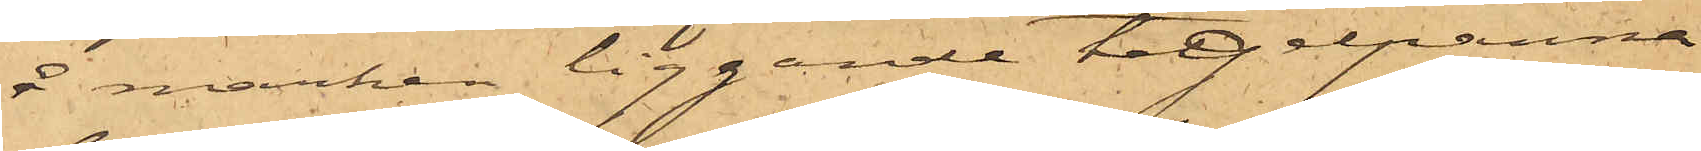å marken liggande tegelpanna
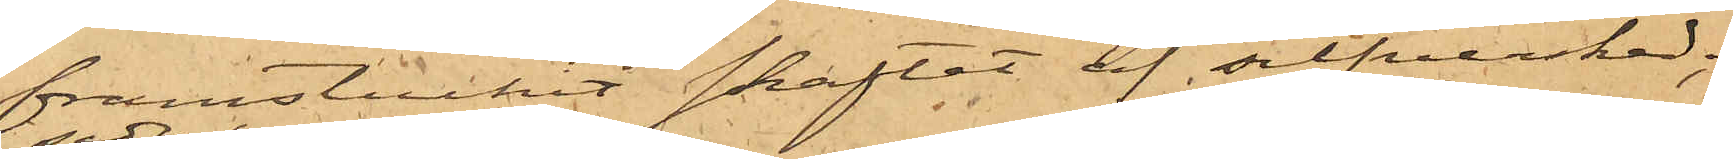framstuckit skaftet af silfversked;
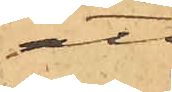att
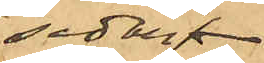sedan
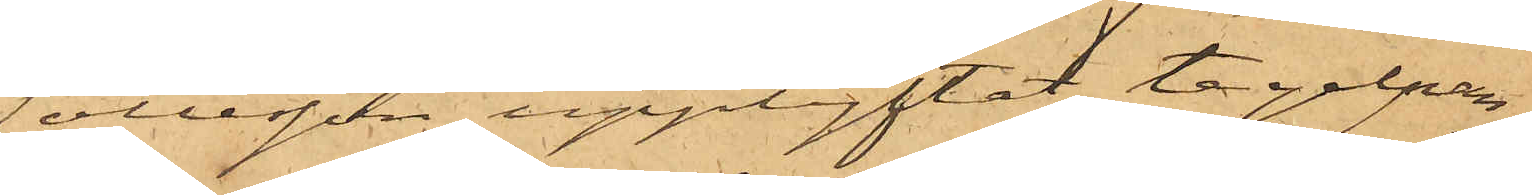Tollesson upplyftat tegelpan¬
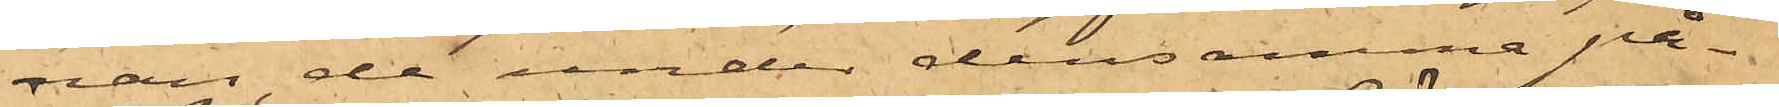nan de under densamma på¬
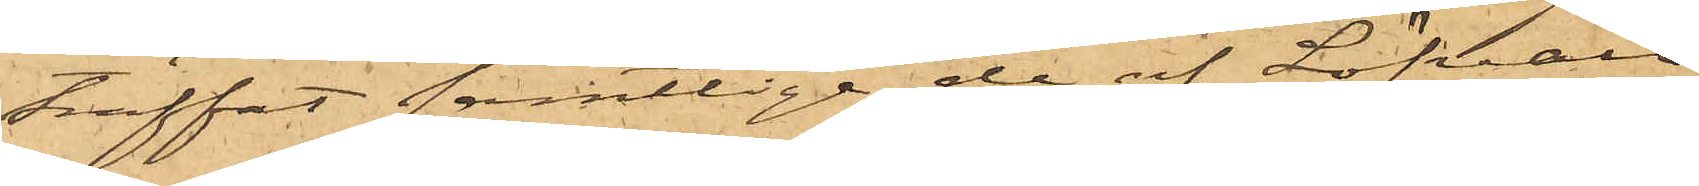träffat samtlige de af Löfvall
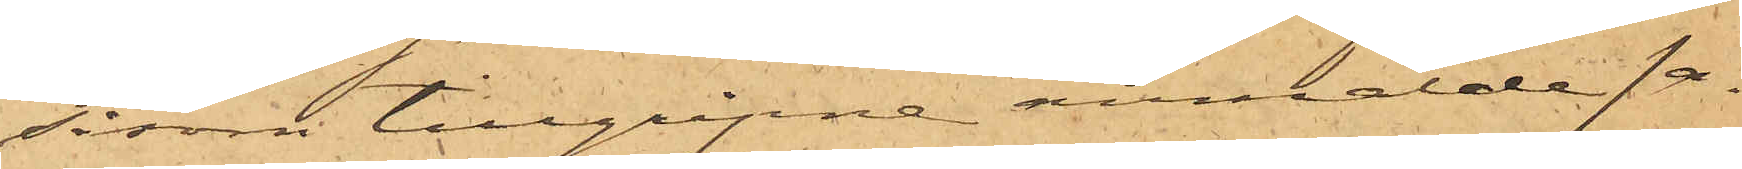såsom tillgripne anmälde sa¬
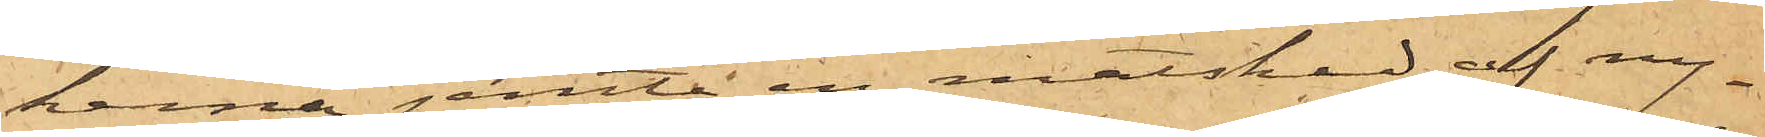kerna jemte en matsked af ny¬
